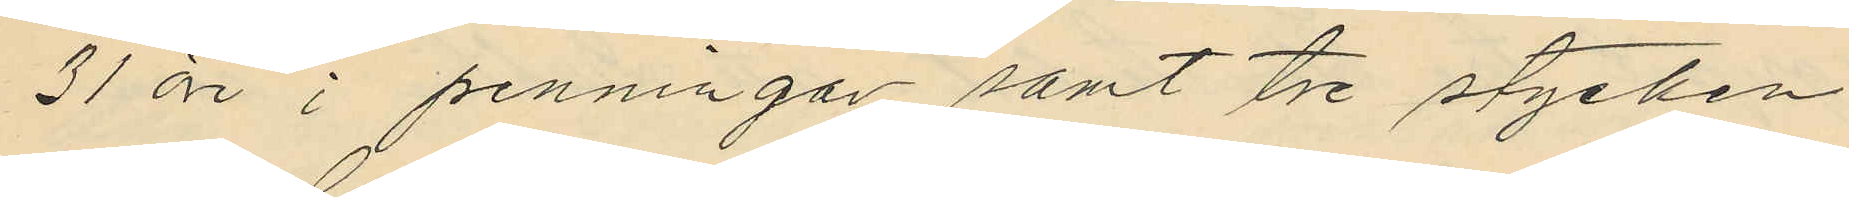31 öre i penningar samt tre stycken
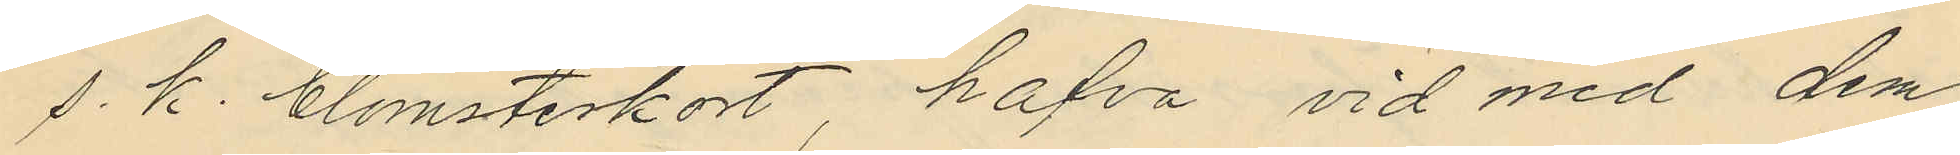s. k. blomsterkort, hafva vid med dem
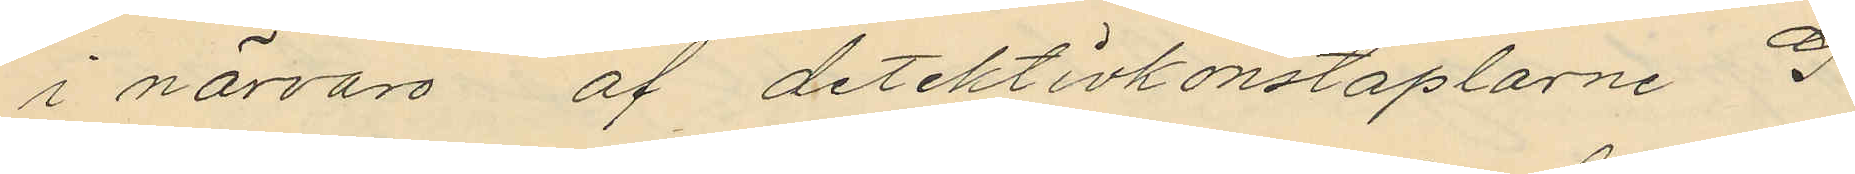i närvaro af detektivkonstaplarne G.
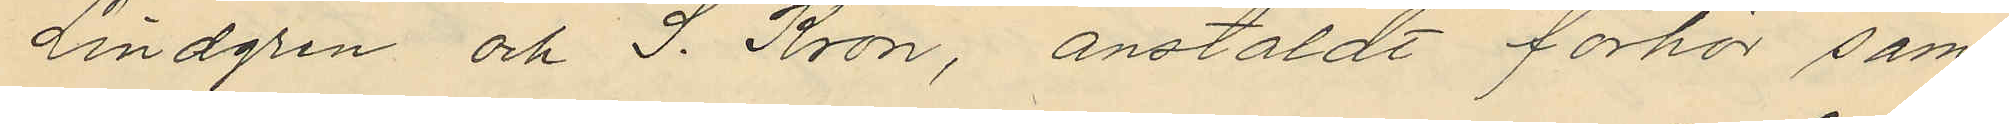Lindgren och J. Kron, anstäldt förhör sam¬
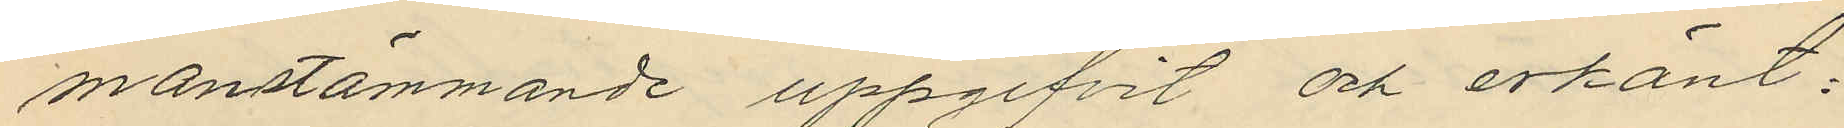manstämmande uppgifvit och erkänt:
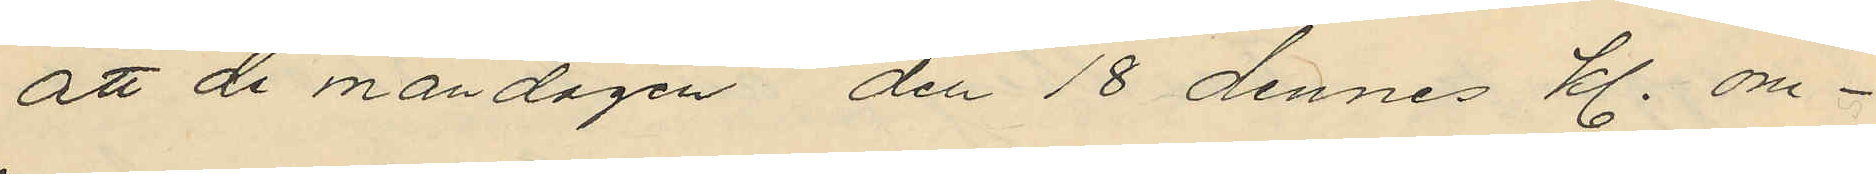att de måndagen den 18 dennes kl. om¬
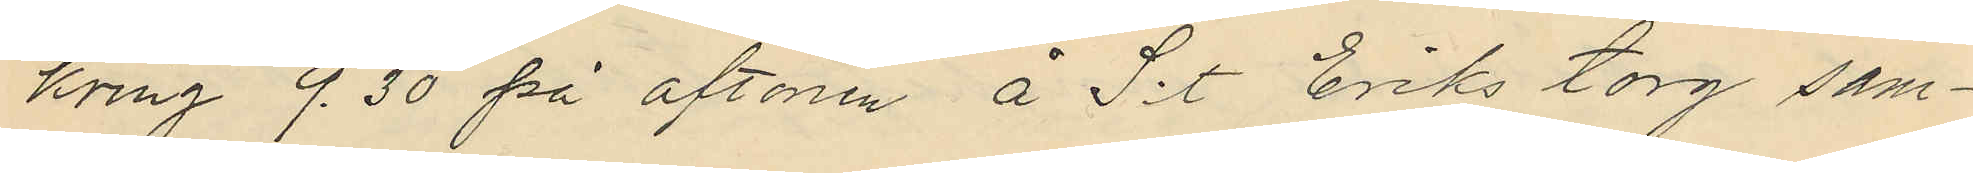kring 9.30 på aftonen å S:t Eriks torg sam¬
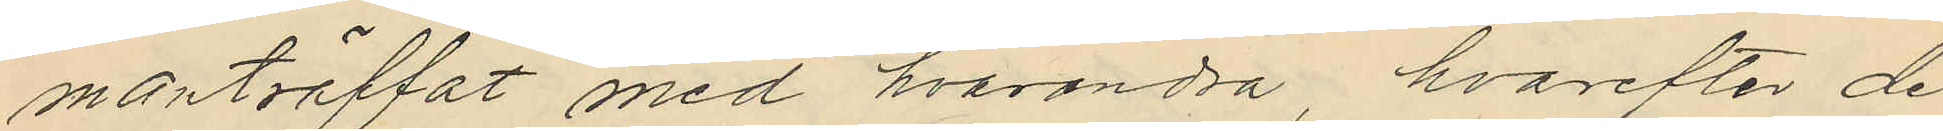manträffat med hvarandra, hvarefter de
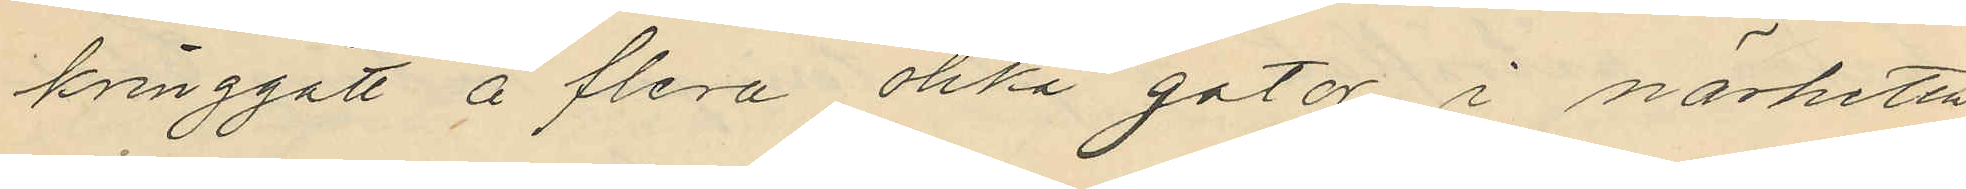kringgått å flera olika gator i närheten
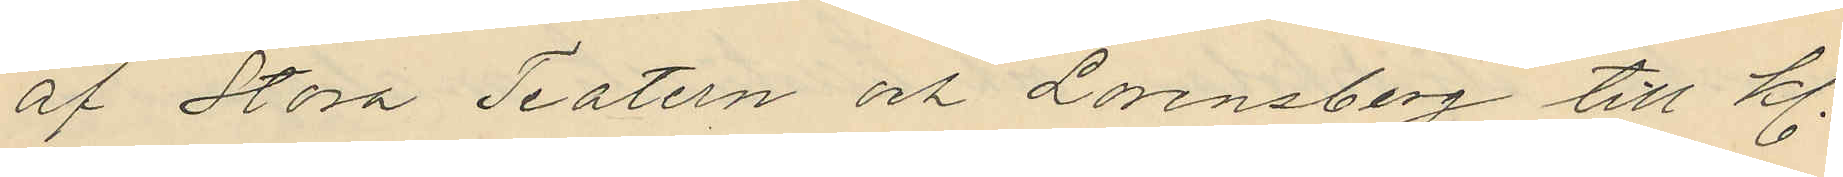af Stora Teatern och Lorensberg till Kl.
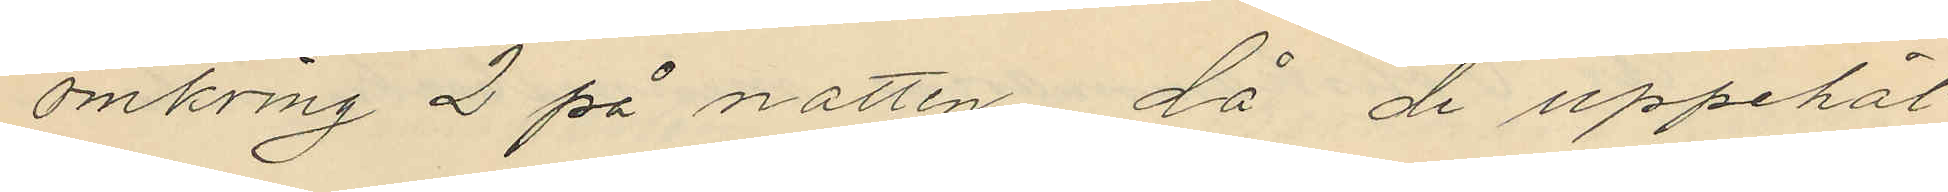omkring 2 på natten, då de uppehål¬
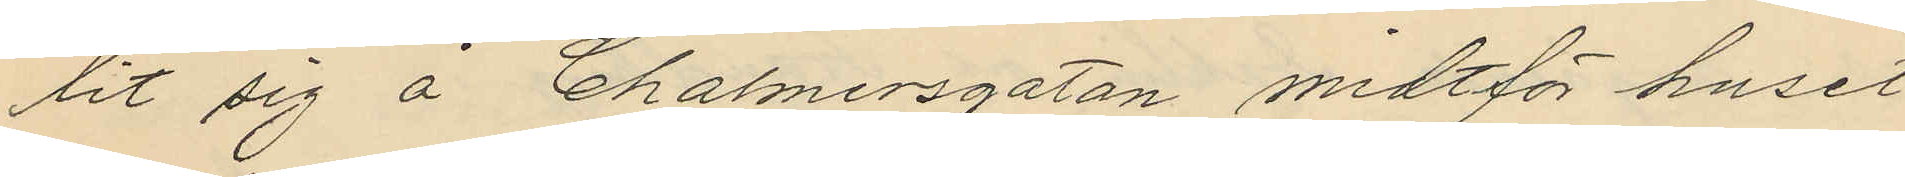lit sig å Chalmersgatan midtför huset
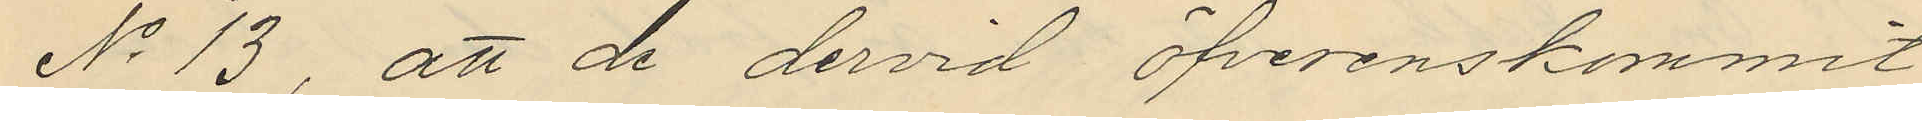No 13, att de dervid öfverenskommit
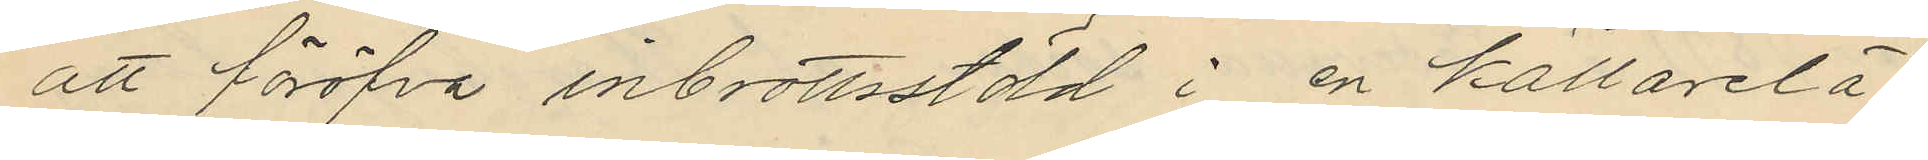att föröfva inbrottsstöld i en källarelä¬
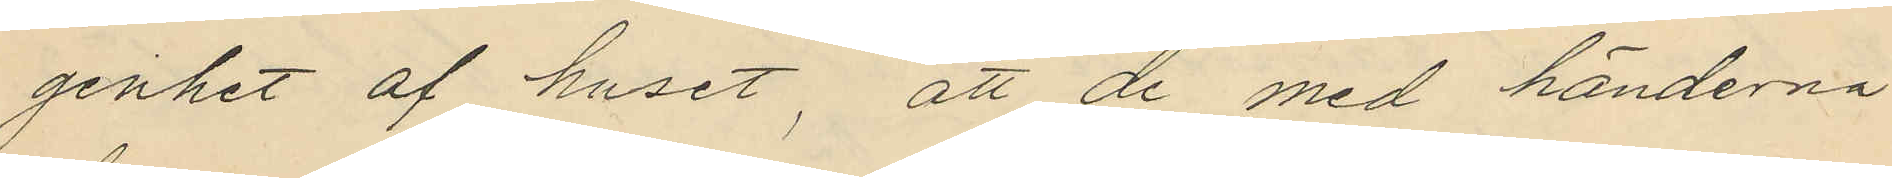genhet af huset; att de med händerna
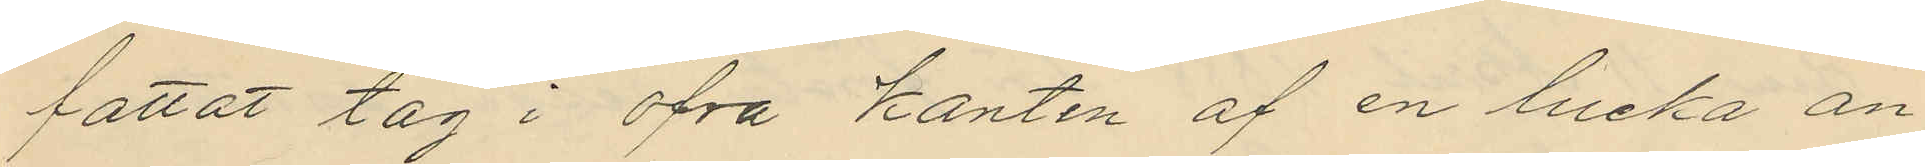fattat tag i öfra kanten af en lucka an¬
